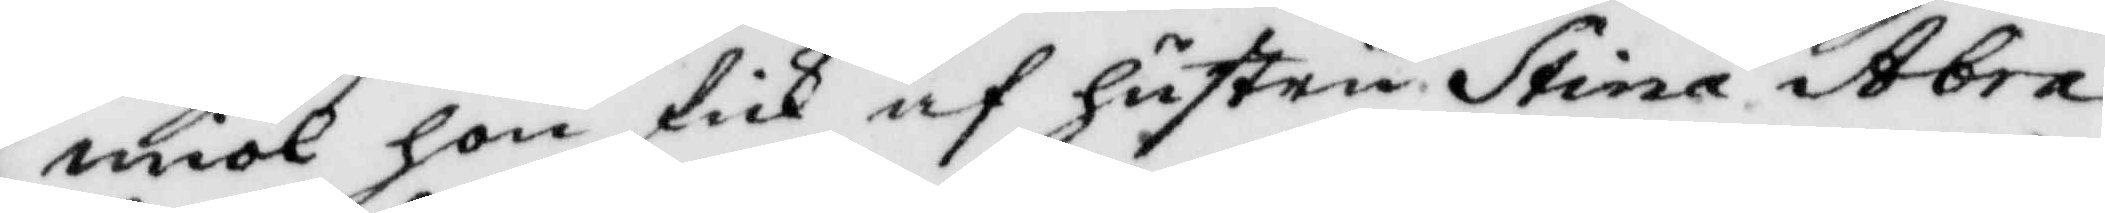miöl hon fick af hustru Stina Abra¬
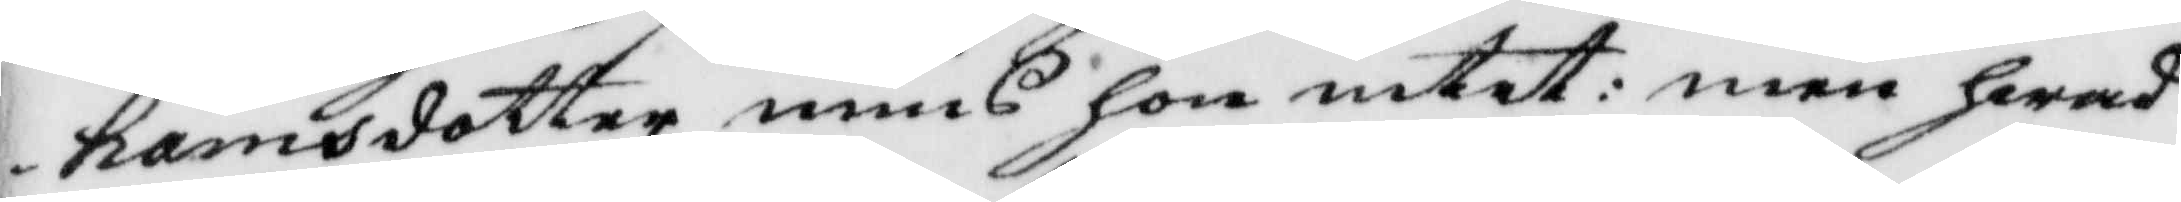hamsdotter mins hon intet: men hwad
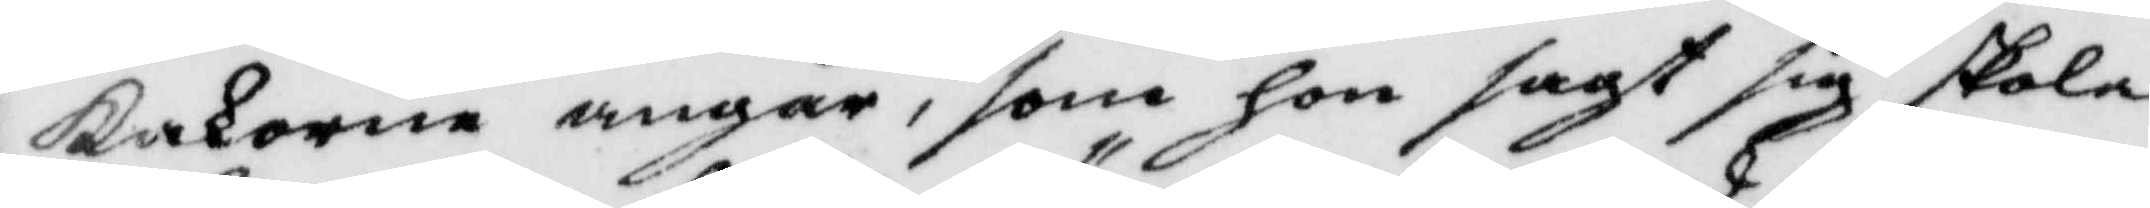kakorne angår, som hon sagt sig skola
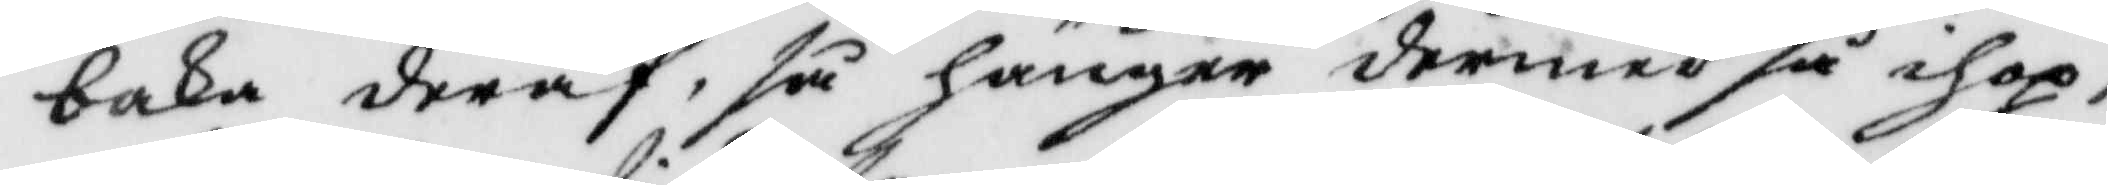baka deraf, så hänger dermed så ihop,
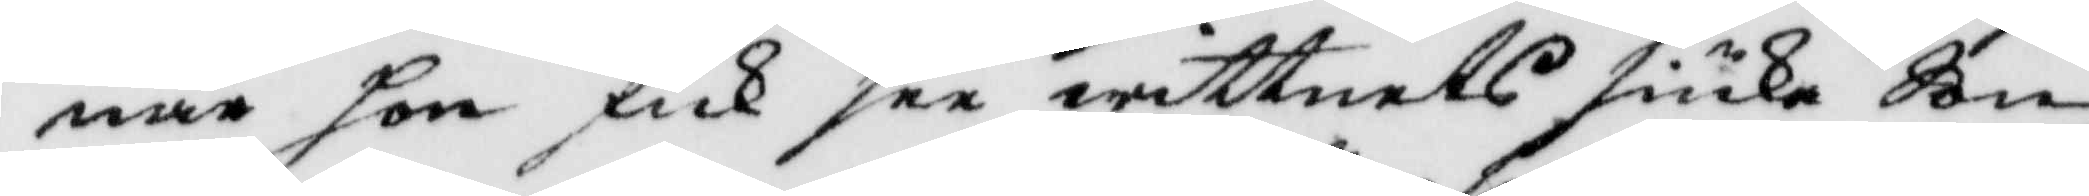när hon fick see wittnets siuka Son
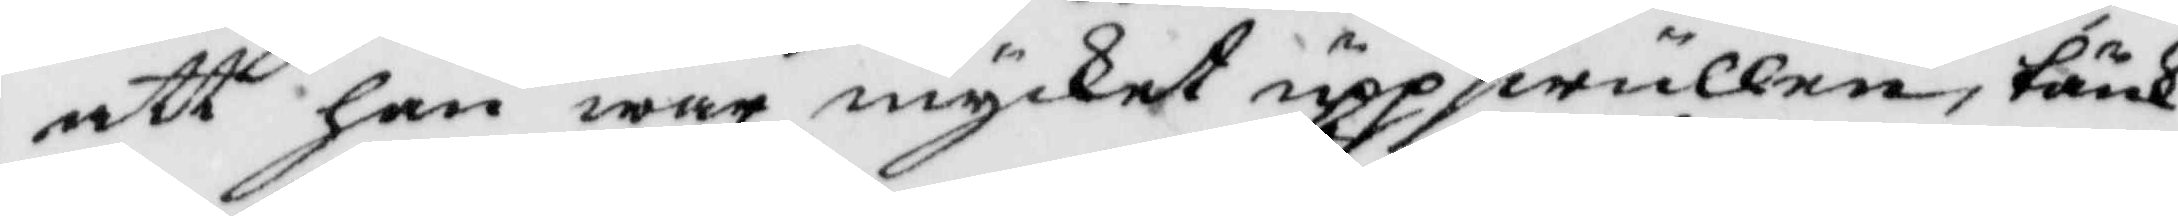att han war mycket uppswullen, tänk¬
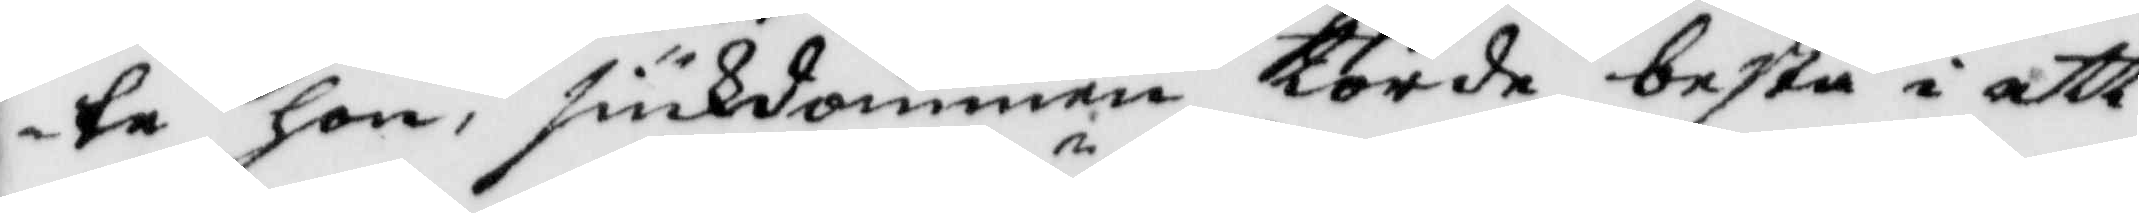te hon, siukdommen torde bestå i ett
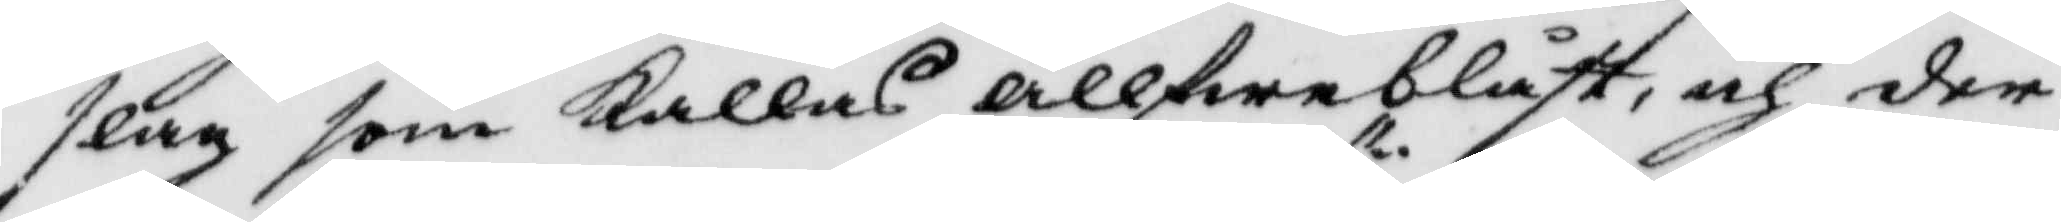slag som kallas Ällfweblåst, och der¬
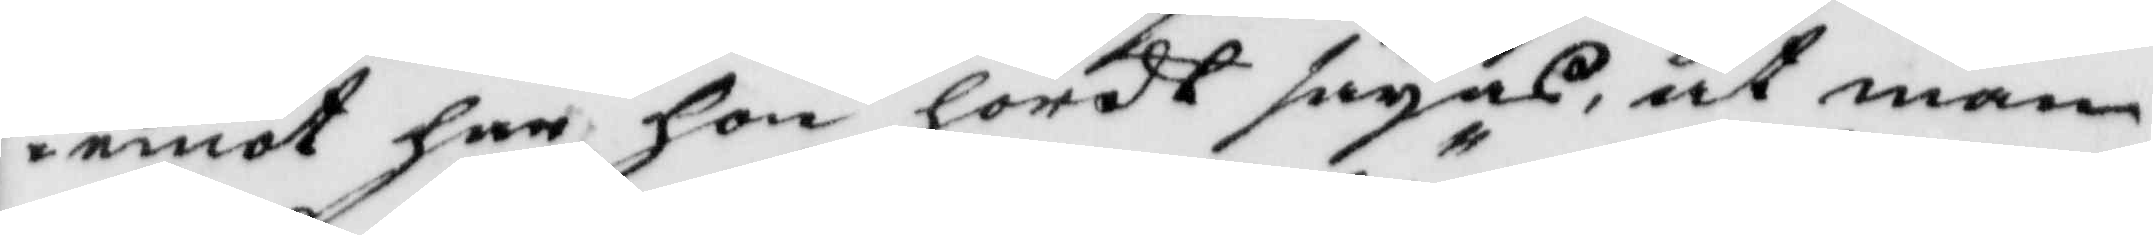emot har hon hördt säyas, at man
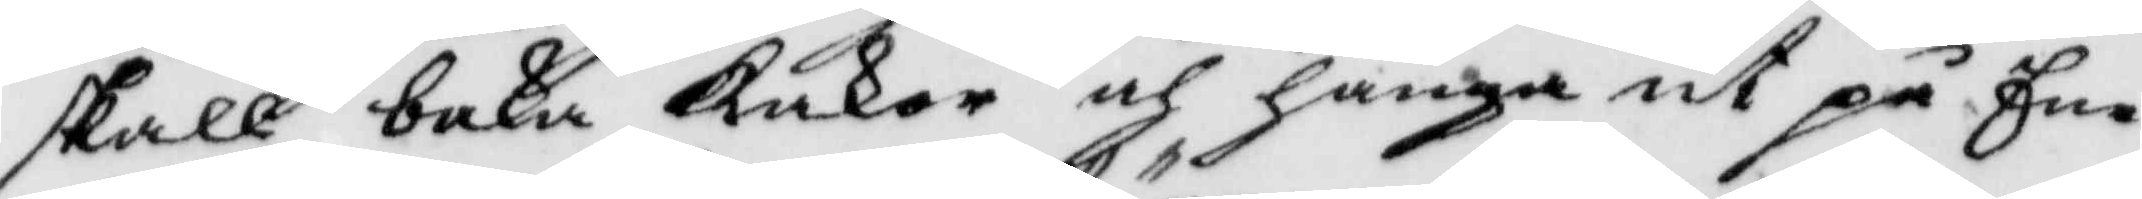skall baka Kakor och hänga ut på Ene¬
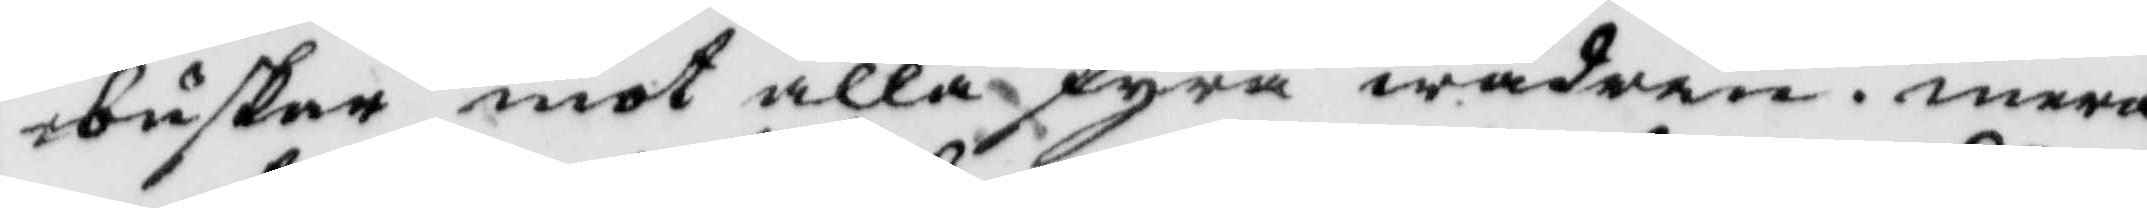buskar mot alla fyra wädren. mera
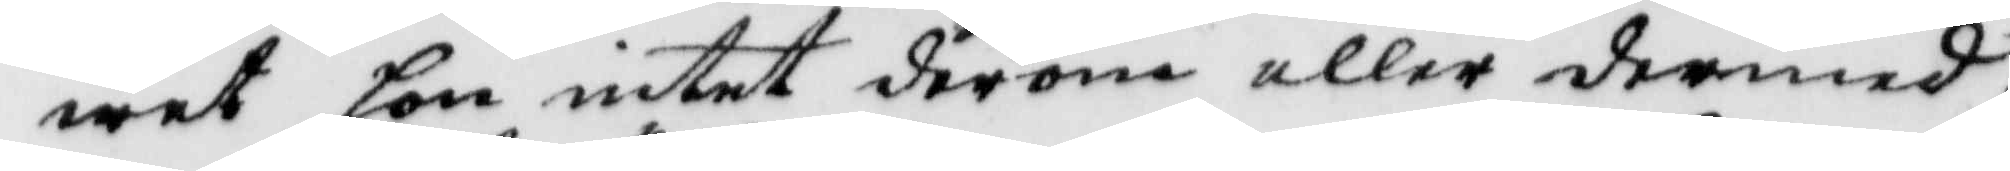wet hon intet derom eller dermed.
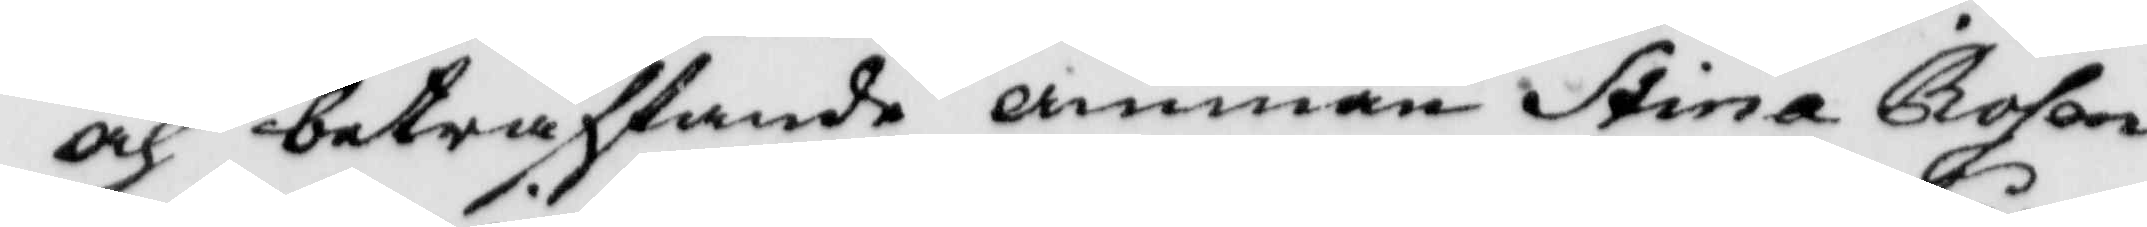och beträffande amman Stina Rosen¬
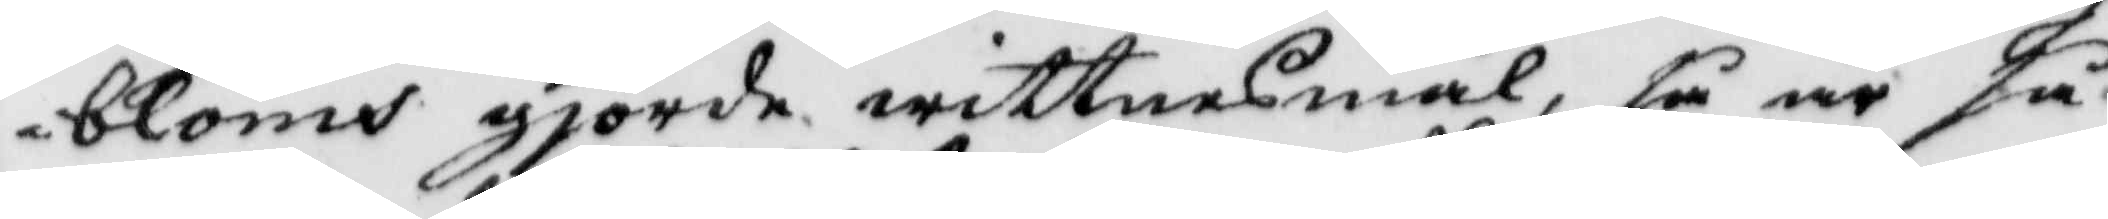bloms gjorde wittnesmål, så är så
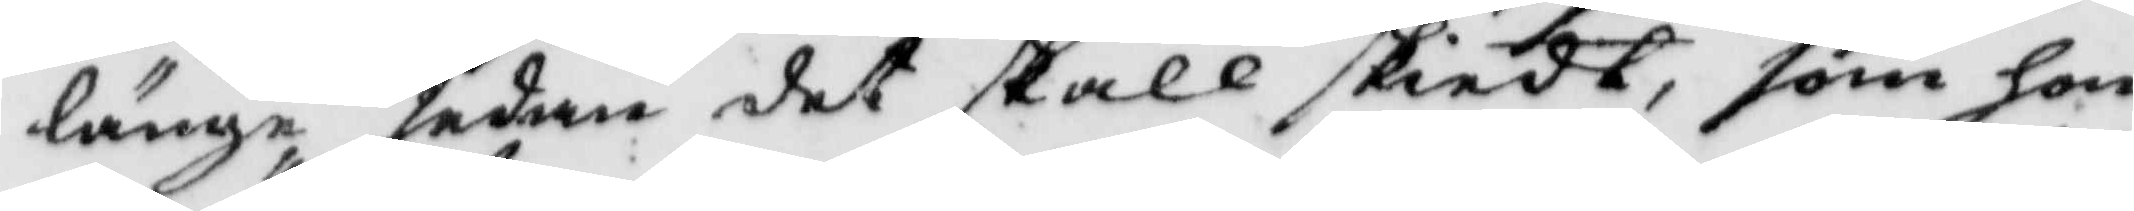länge sedan det skall skiedt, som hon
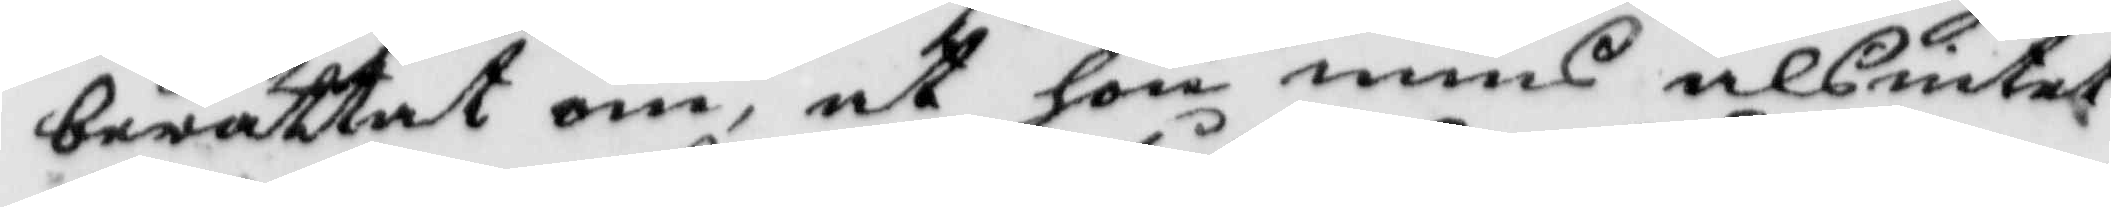berättat om, at hon mins alsintet
